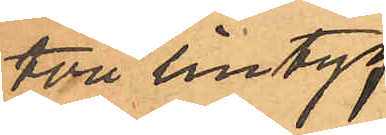två lintyg
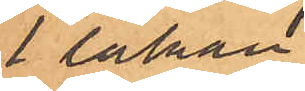1 lakan
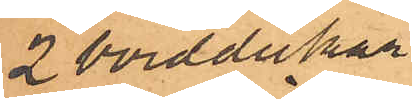2 borddukar
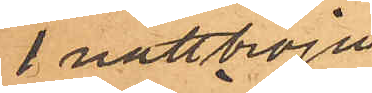1 natttröja
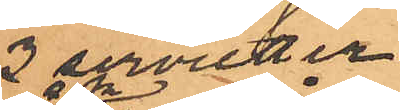2 sevietter
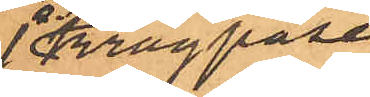1 Kragpåse
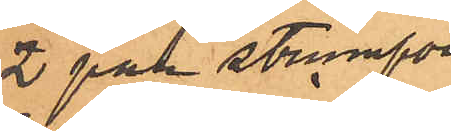2 par strumpor
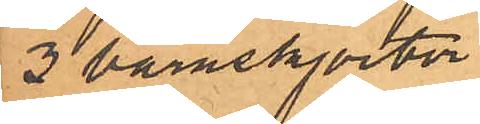3 barnskjortor
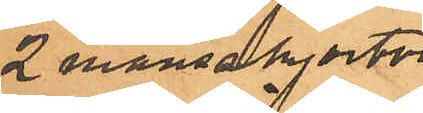2 mansskjortor
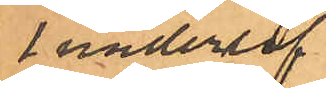1 underlif
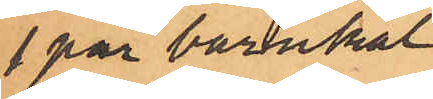1 par barnkal¬
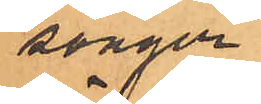songer
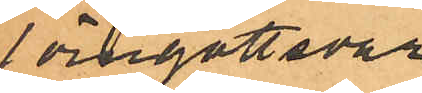1 örngottsvar
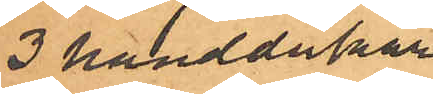3 handdukar
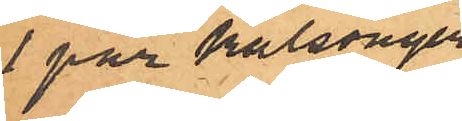1 par kalsonger
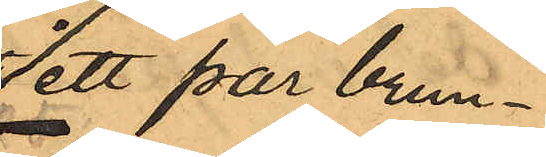 ett par brun¬
